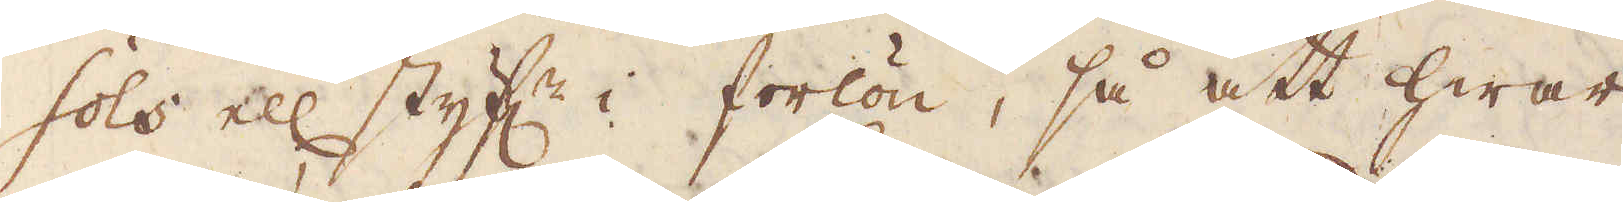sols ell styf:r i forlön, så att hwar
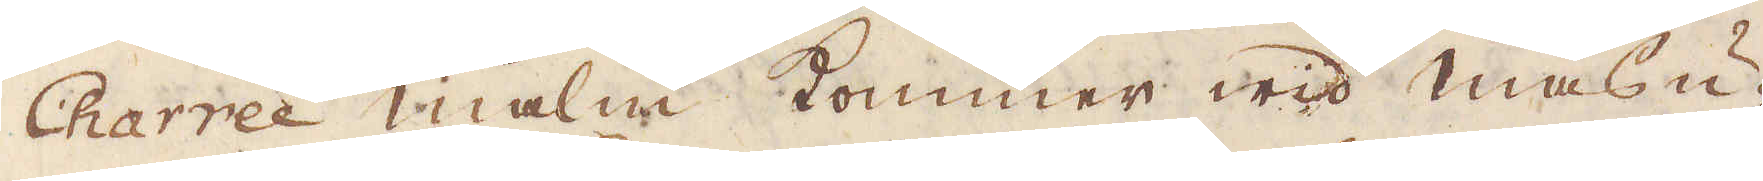Charré malm kommer wid masu-
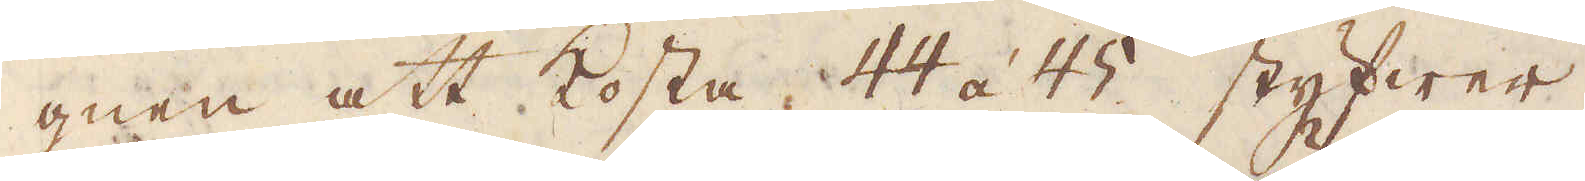gnen att kosta 44 à 45 styfwer.
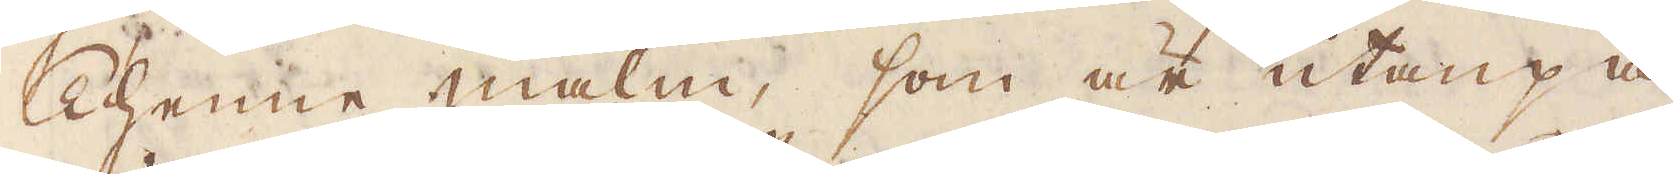Thenne malm, som är utanpå
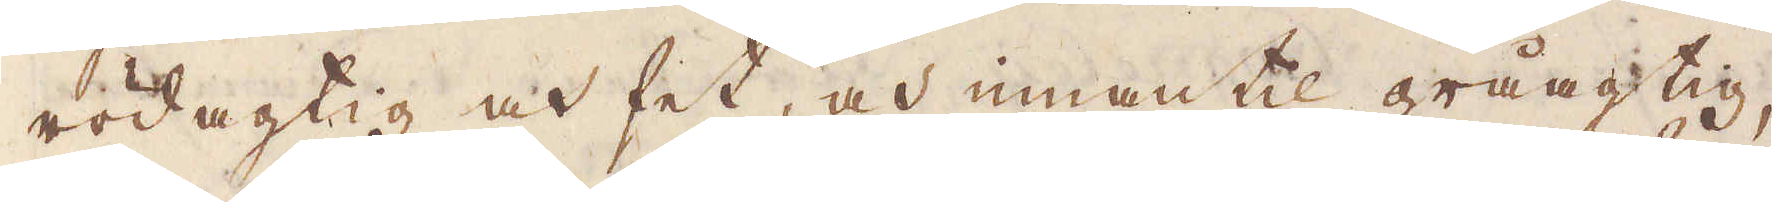rödagtig och het, och innantil gråagtig
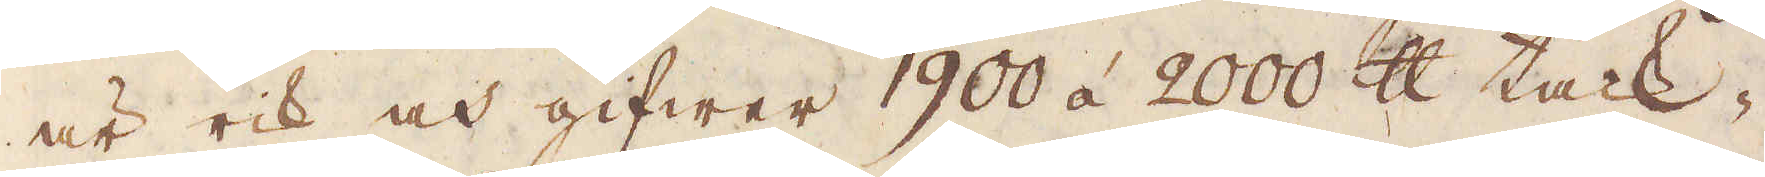är rik och gifwer 1900 à 2000 skålpund tack-
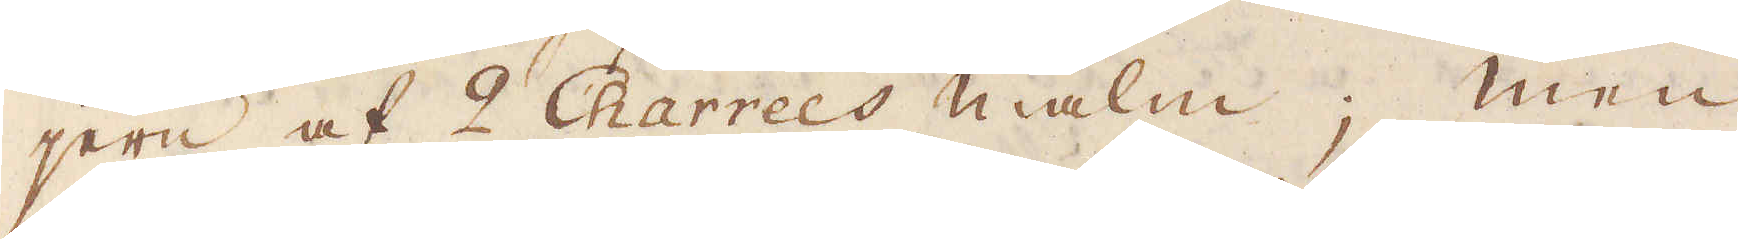jern af 2 Charrées malm; Men
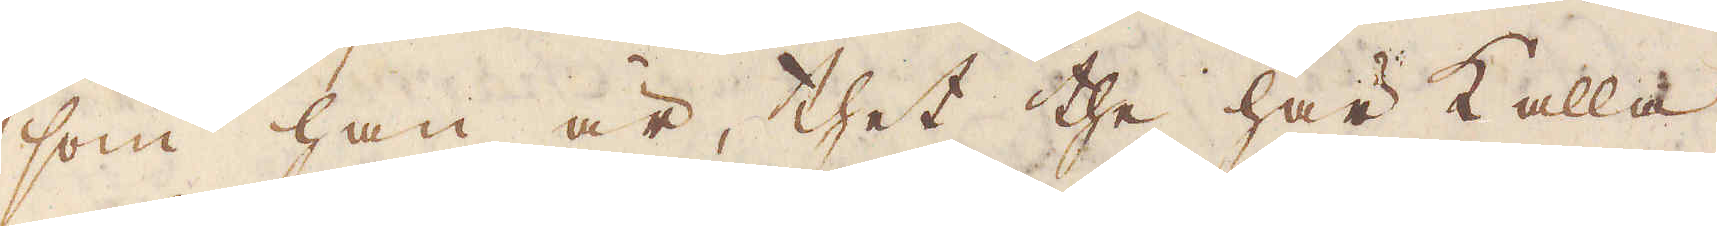som han är, thet the här kalla
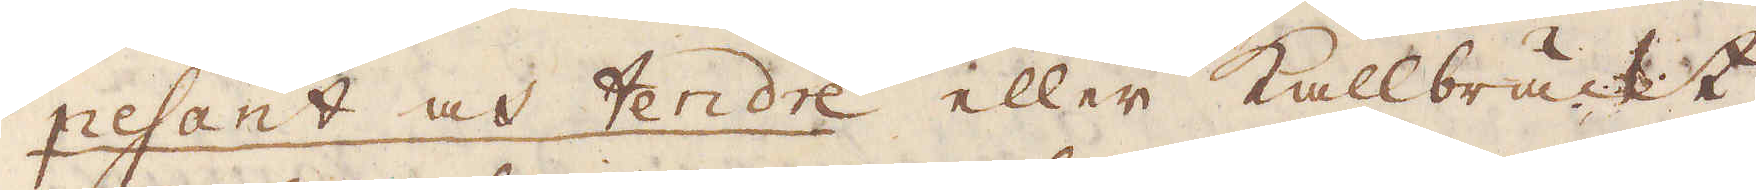pesant och fendre eller Kallbräckt,
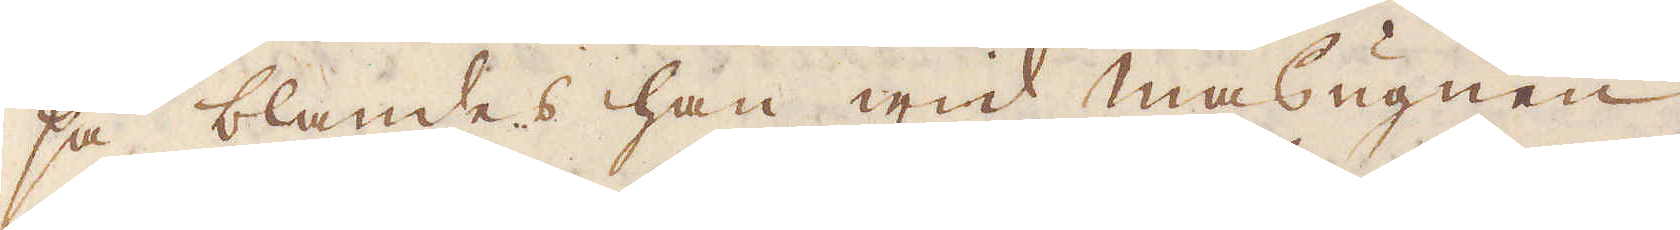så blandes han wid masugnen
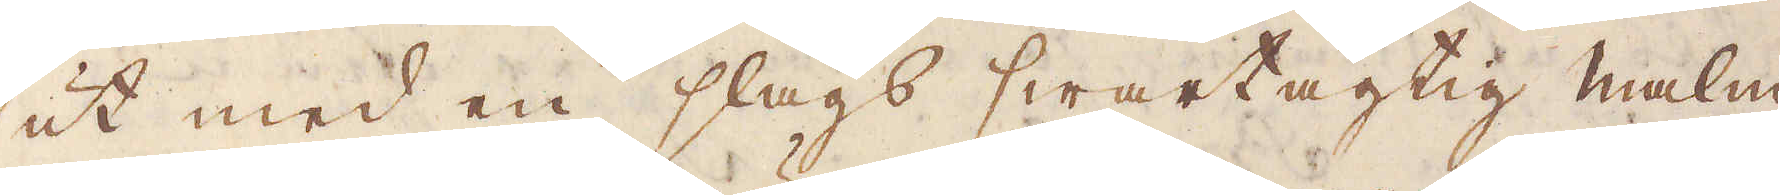ut med en slags swartagtig malm
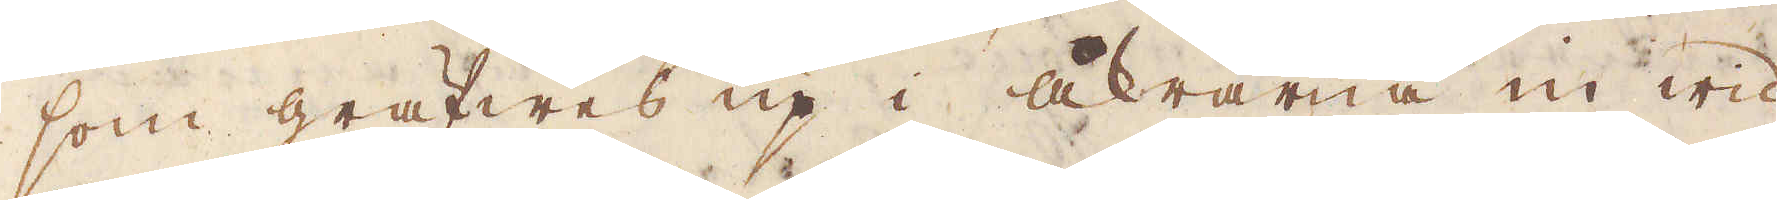som gräfwes up i åkrarna in wid
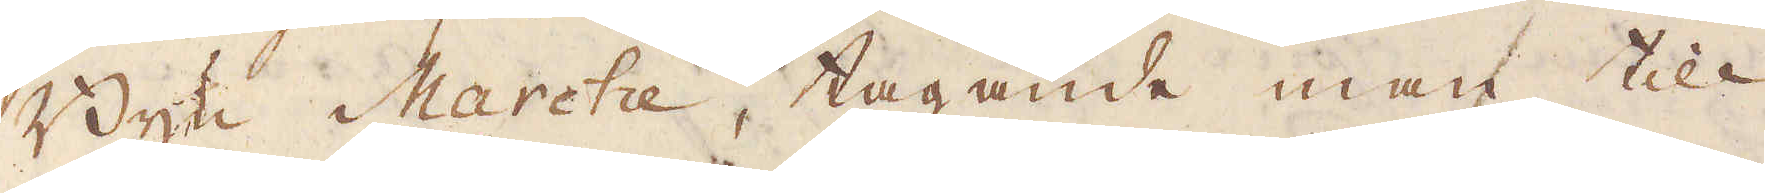Byn Marche, tagande man till
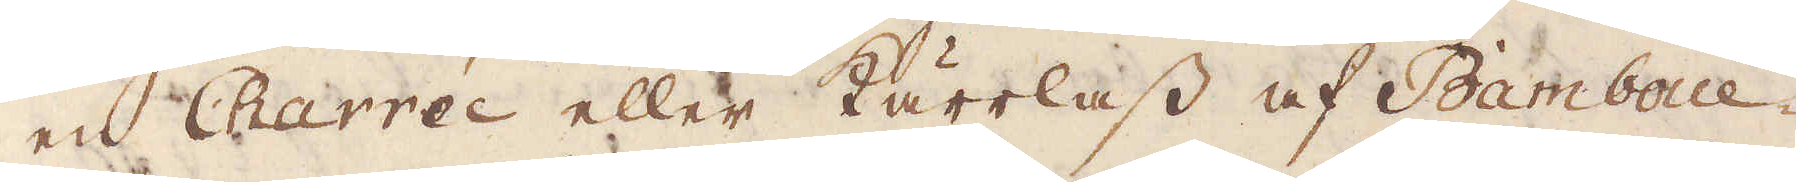en Charrée eller kärrlass af Bamboue
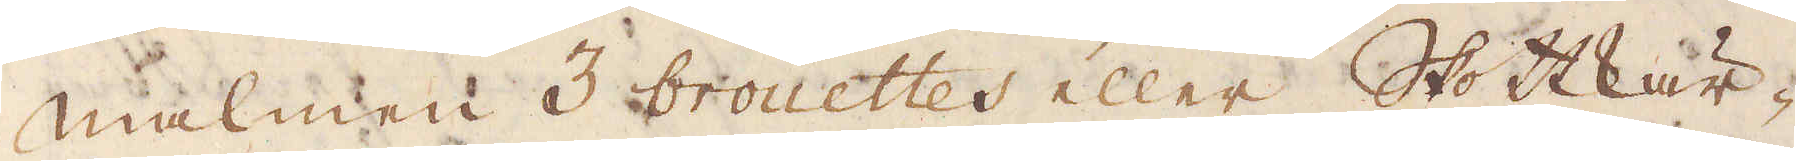malmen 3 brouettes eller Skottkär-
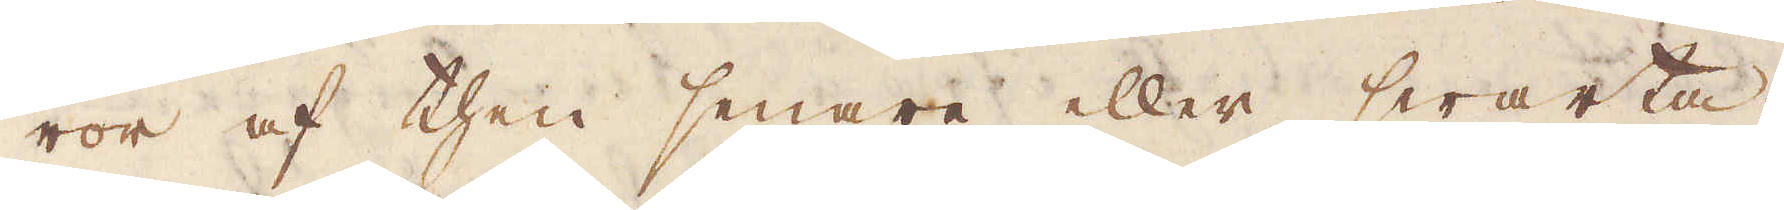ror af then senare eller swarta.
